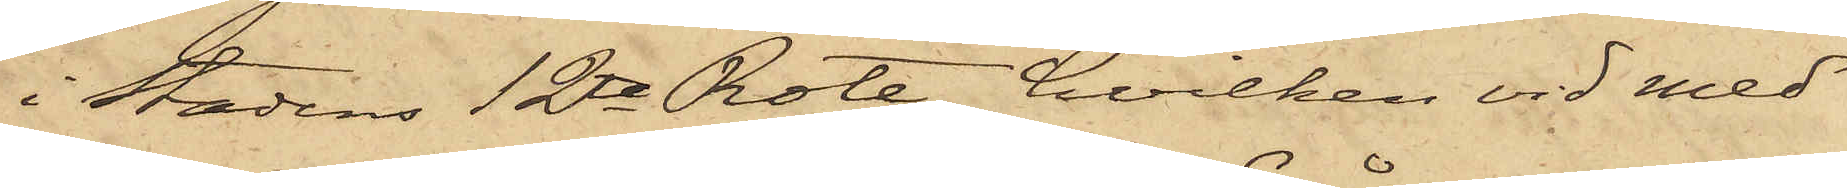i Stadens 12te Rote, hvilken vid med
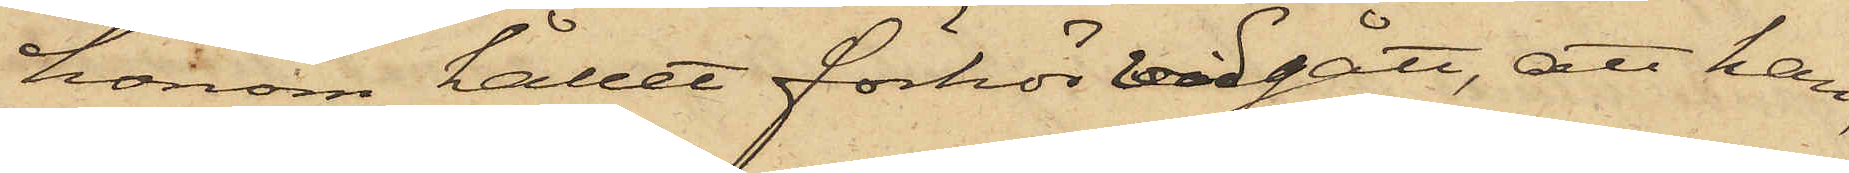honom hållet förhör vidgått, att han,
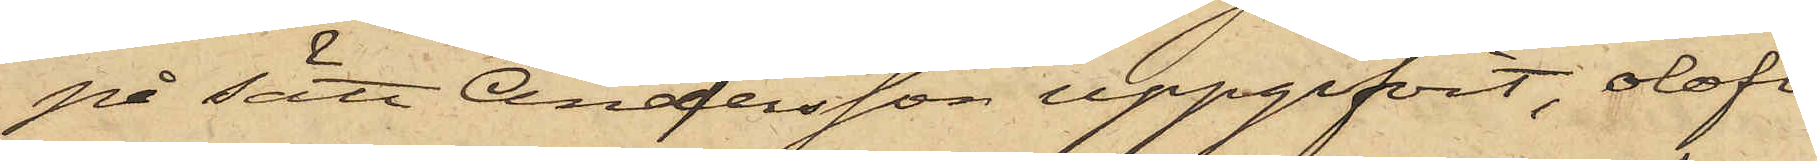på sätt Andersson uppgifvit, olofli¬
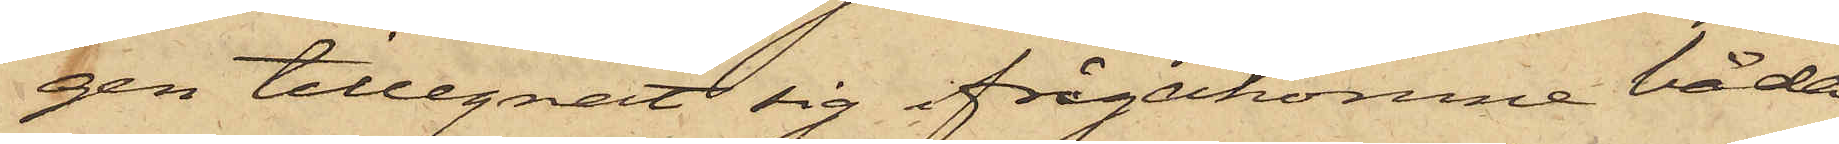gen tillegnat sig ifrågakomne båda
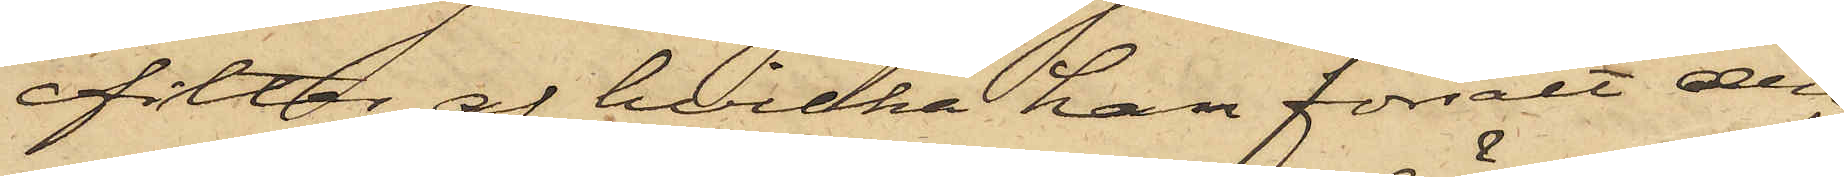filtar, af hvilka han försålt den
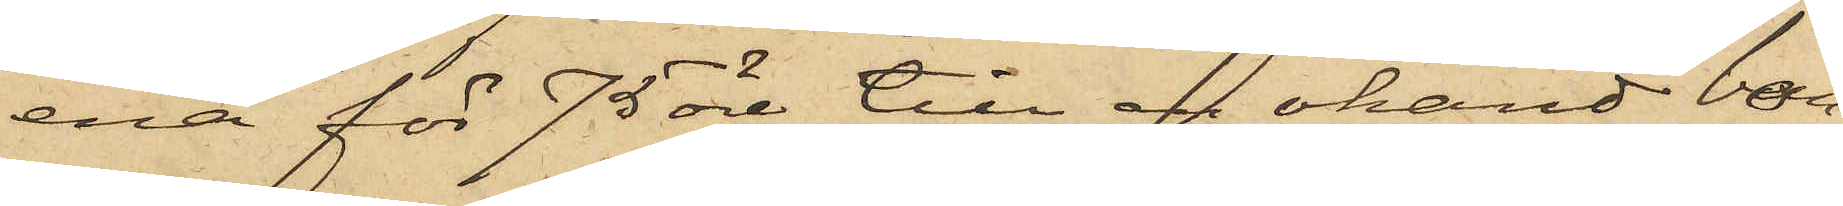ena för 75 öre till en okänd bon¬
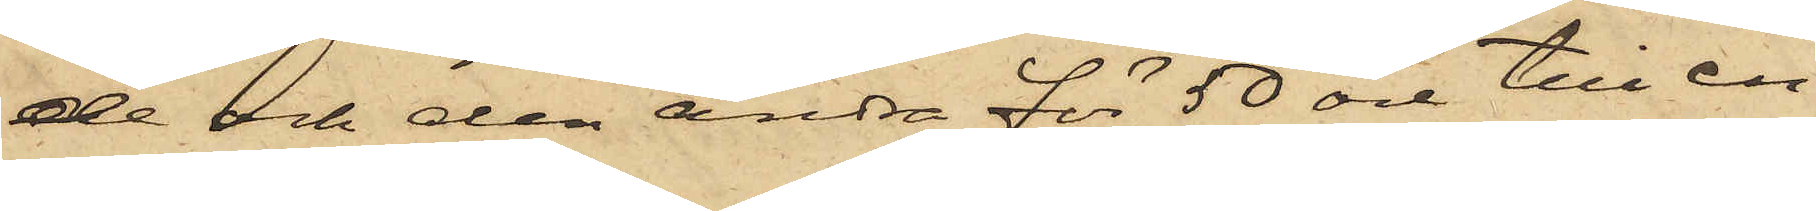de och den andra för 50 öre till en
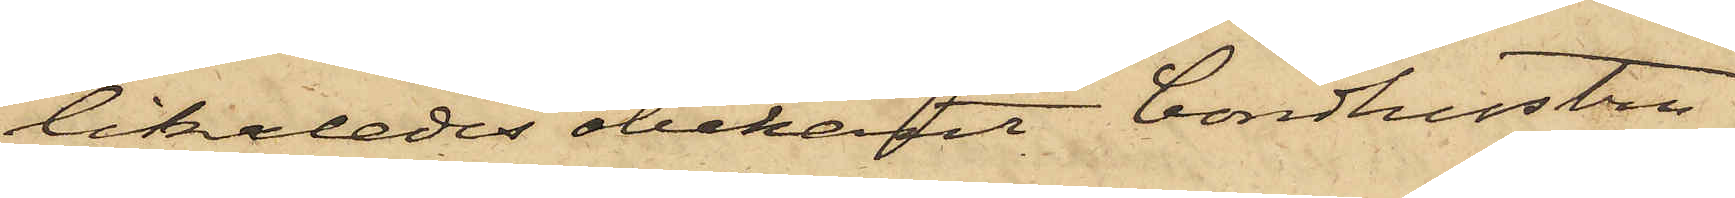likaledes obekant bondhustru.
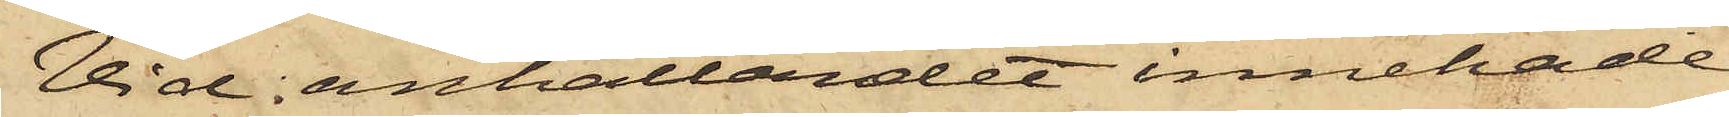Vid anhållandet innehade
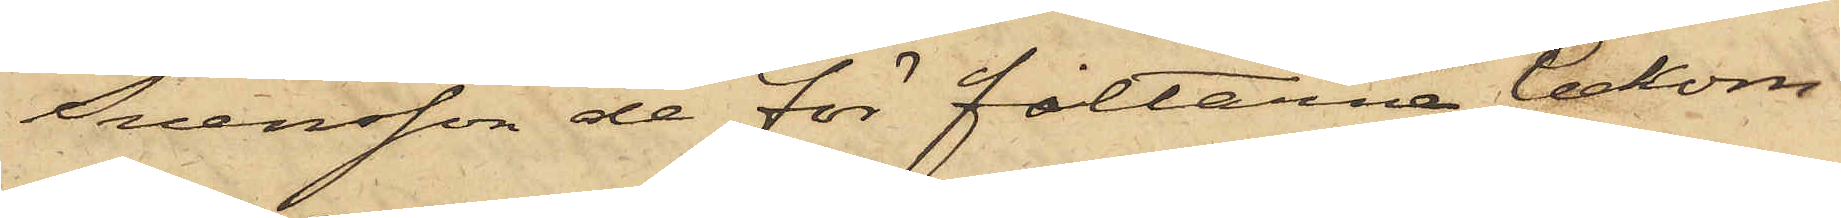Svensson de för filtarna bekom¬
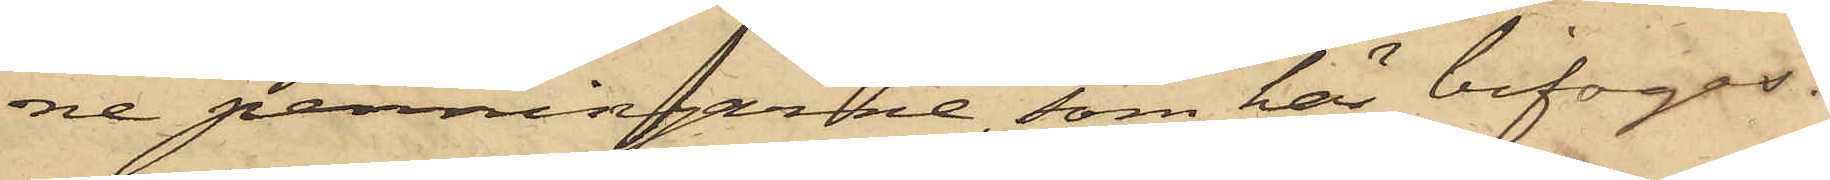ne penningarne, som här bifogas.
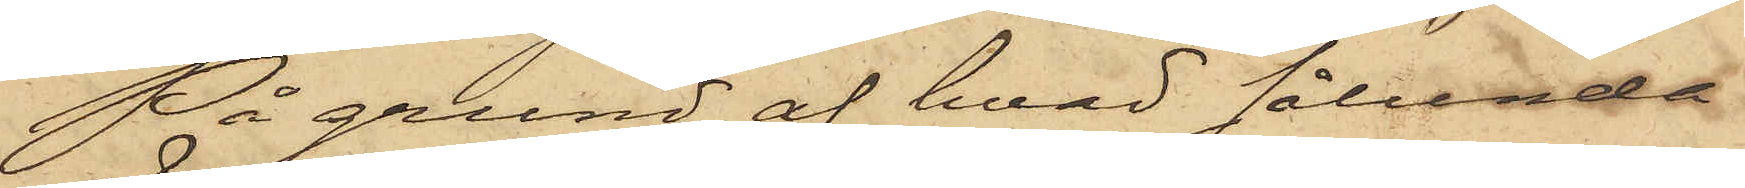På grund af hvad sålunda
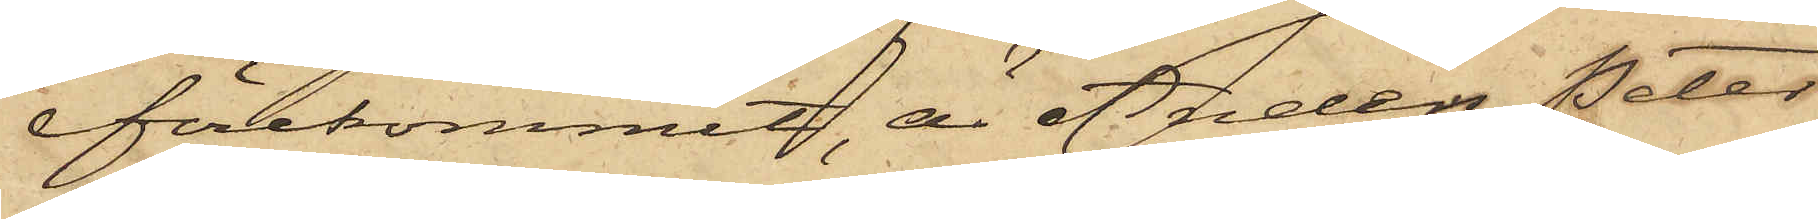förekommit, är Anders Peter
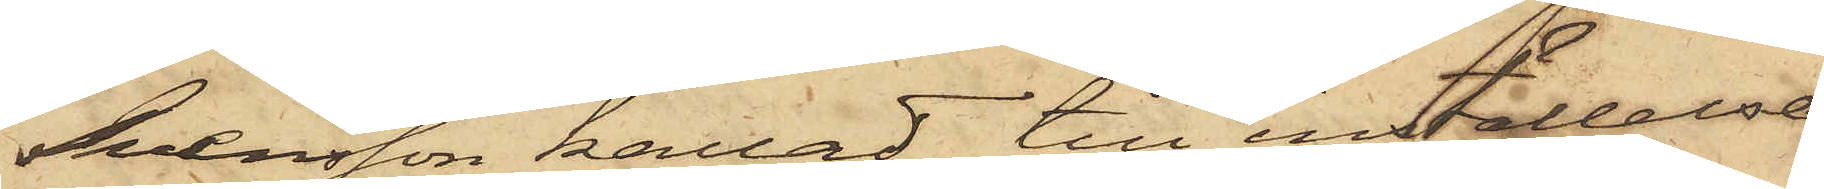Svensson kallad till inställelse
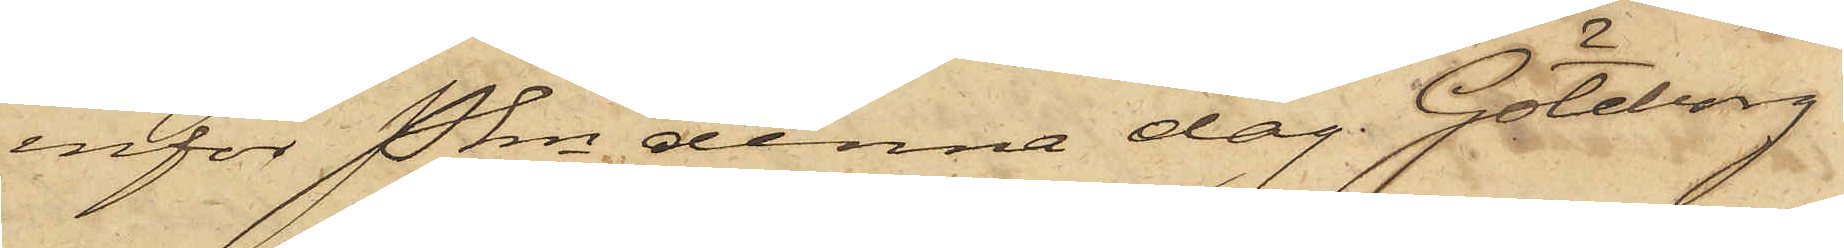inför Pkn denna dag. Göteborg
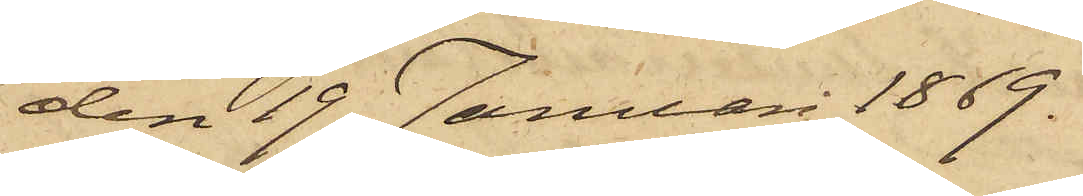den 19 Januari 1869.
